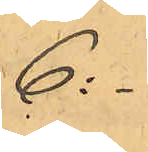6 :-
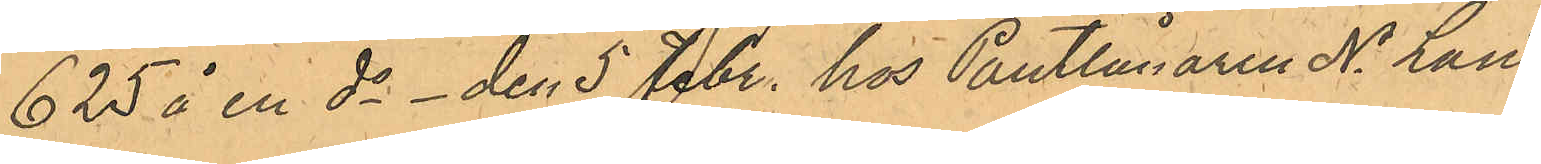625 å en do - den 5 Febr. hos Pantlånaren N Lund¬
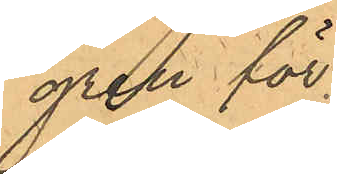gren för
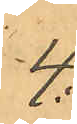4:
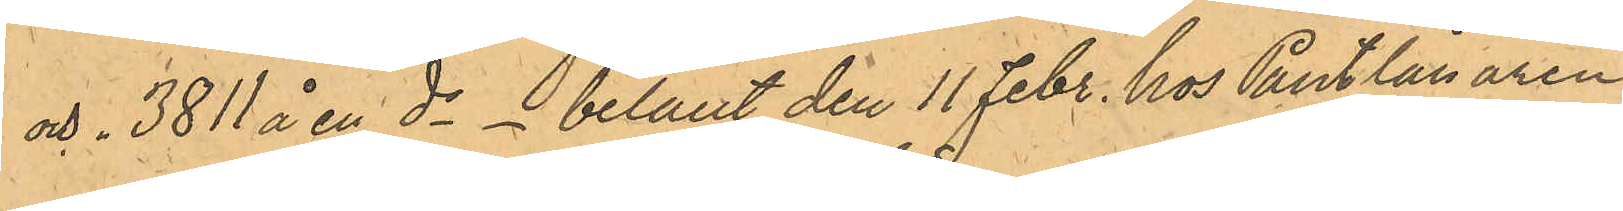och " 3811 å en do - belånt den 11 Febr. hos Pantlånaren
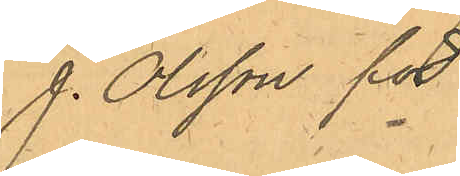J. Olsson för
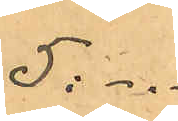5: -"-
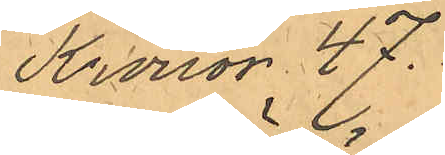Kronor 47.-
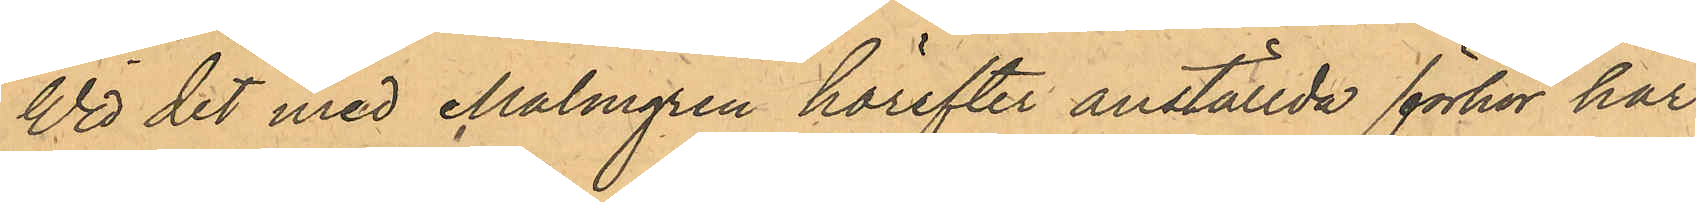Vid det med Malmgren härefter anställde förhör har
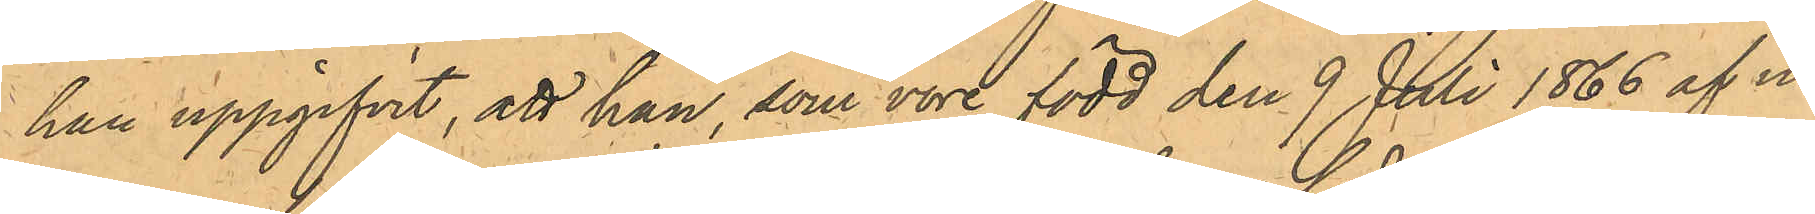han uppgifvit, att han, som vore född den 9 Juli 1866 af nu¬ 
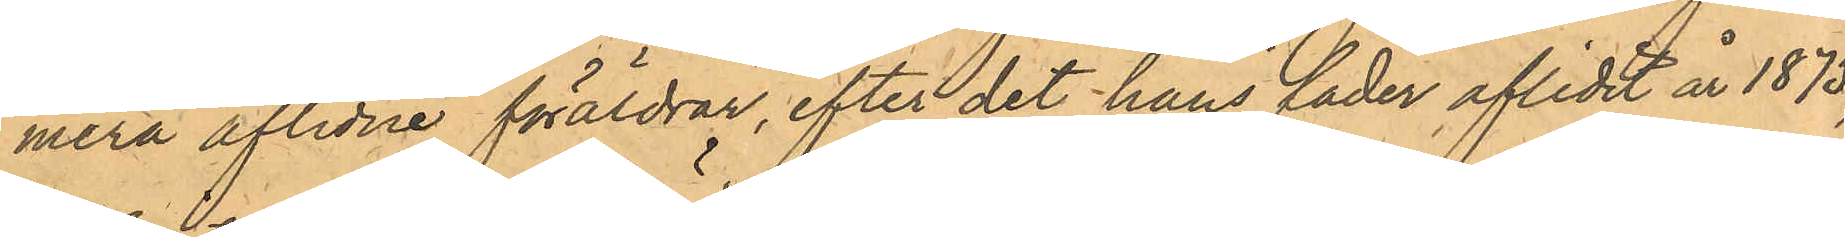mera aflidne föräldrar, efter det hans fader aflidit år 1875,
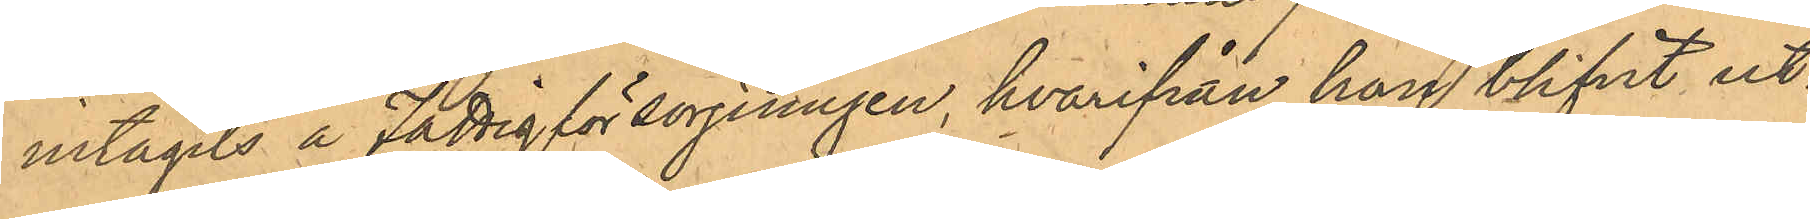intagits å Fattigförsörjningen, hvarifrån han blifvit ut¬
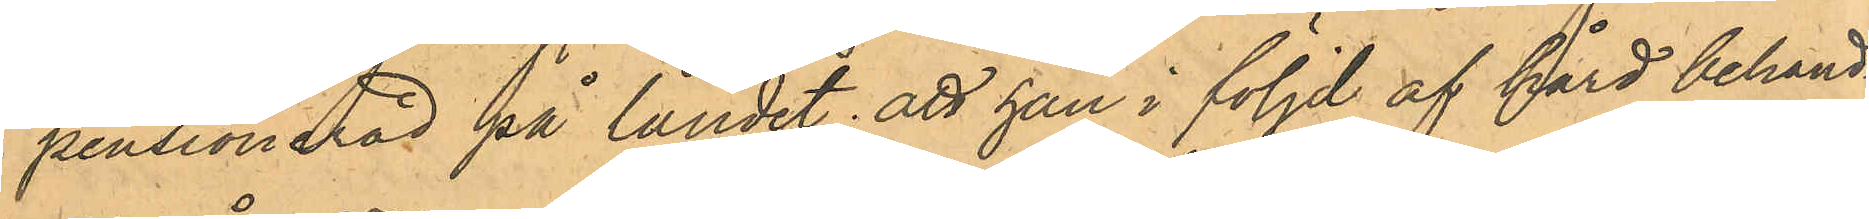pensionerad på landet; att han i följd af hård behand¬
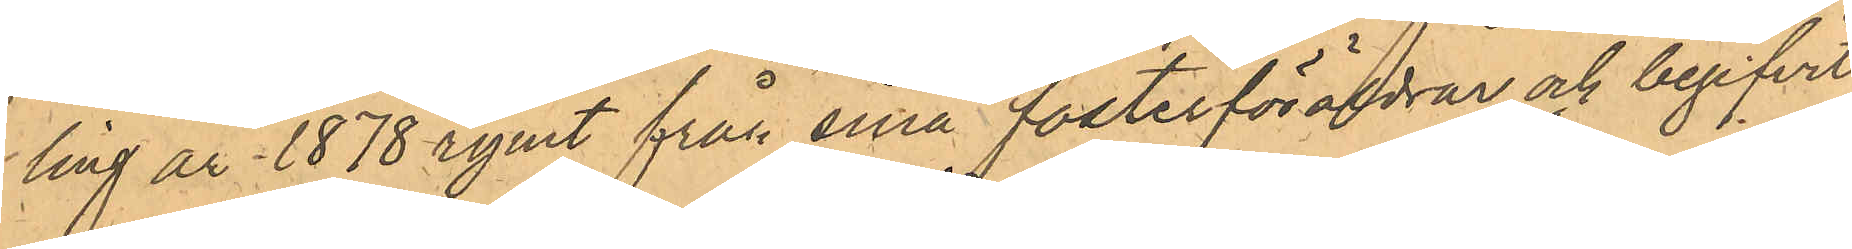ling år 1878 rymt från sina fosterföräldrar och begifvit
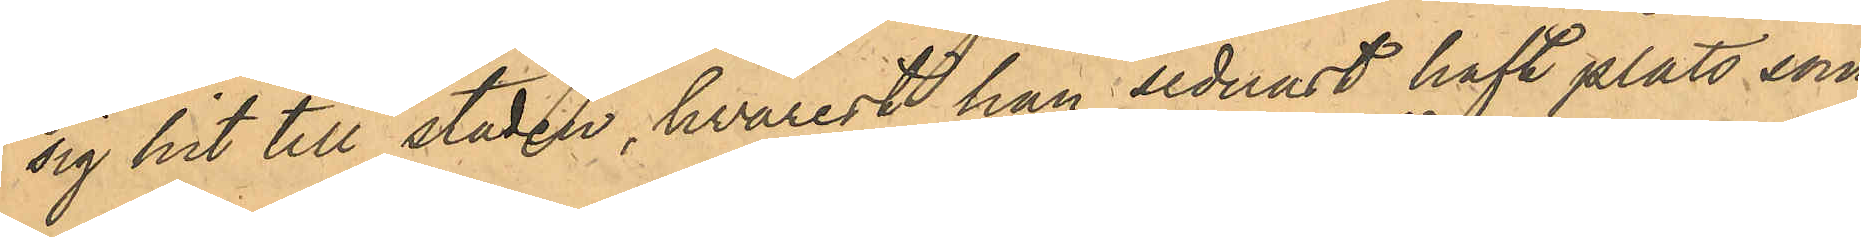sig hit till staden, hvarest han sednast haft plats som
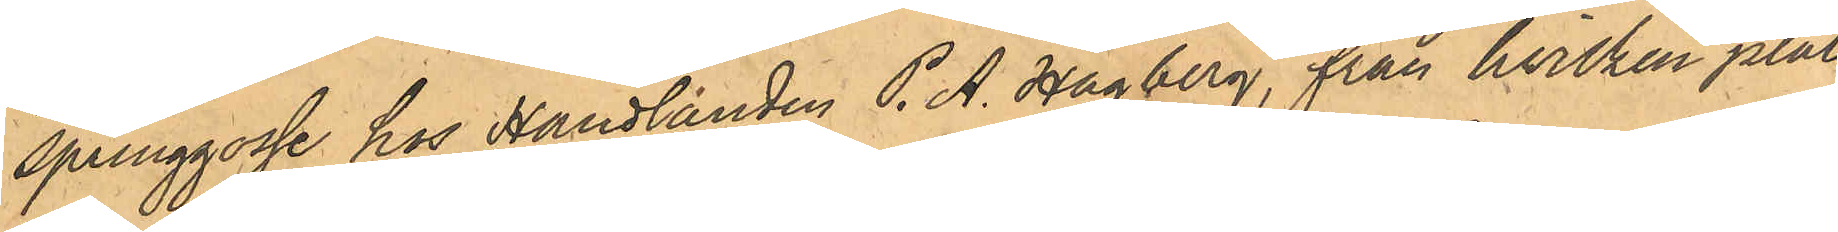springpojke hos Handlanden P. A. Hagberg, från hvilken plats
